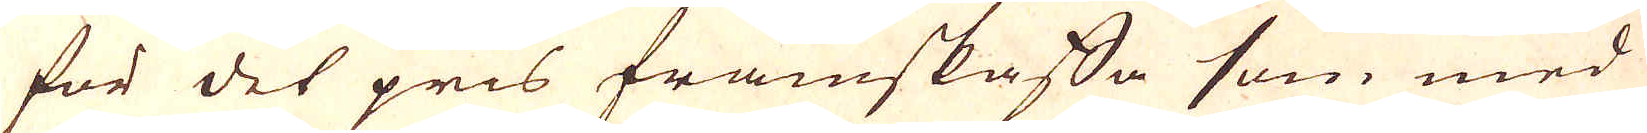för det pris framskaffa som med
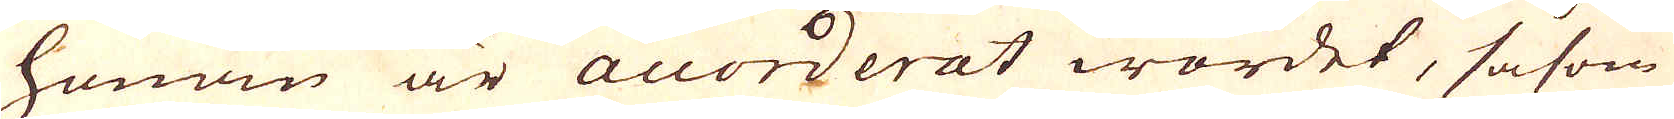honom är accorderat wordet, såsom
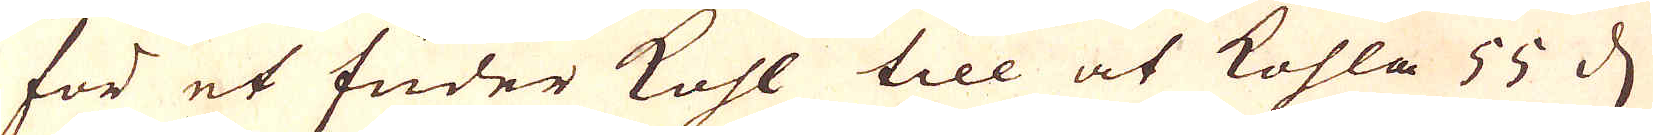för et fuder kohl till at kohla 55 d
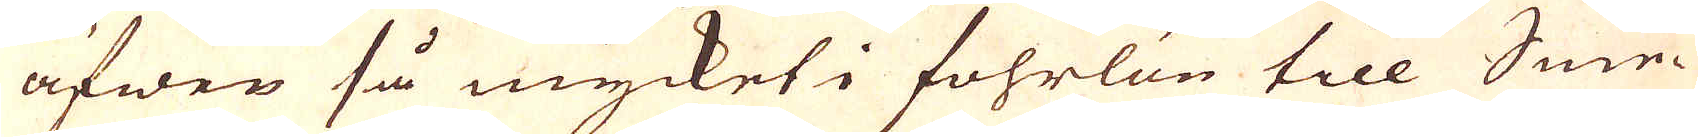äfwen så mycket i fohrlön till Sme-
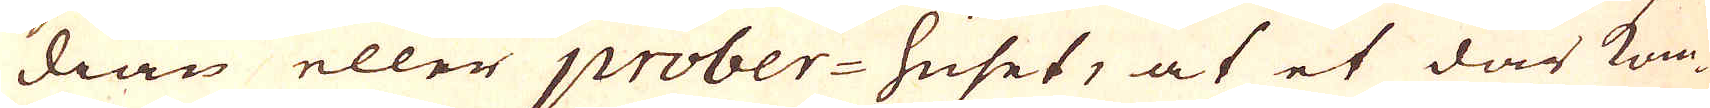dian eller prober-huset, at et där kom-
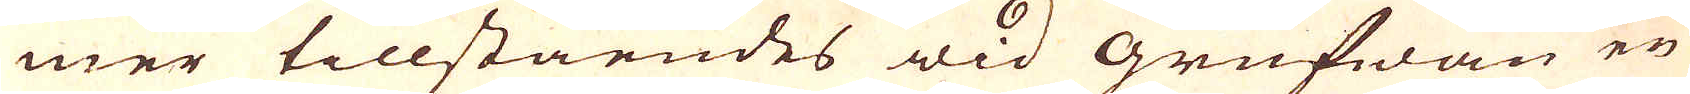mer tillståendes wid grufwan en
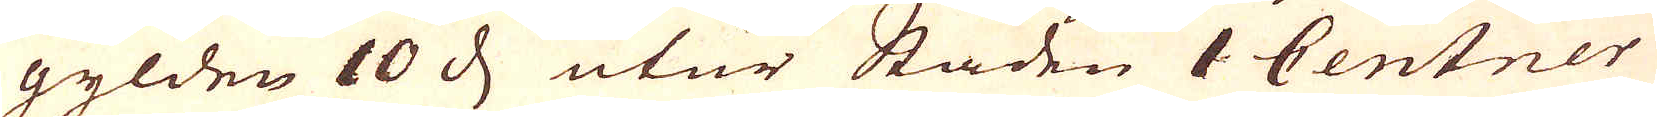gylden 10 d utur Staden 1 Centner
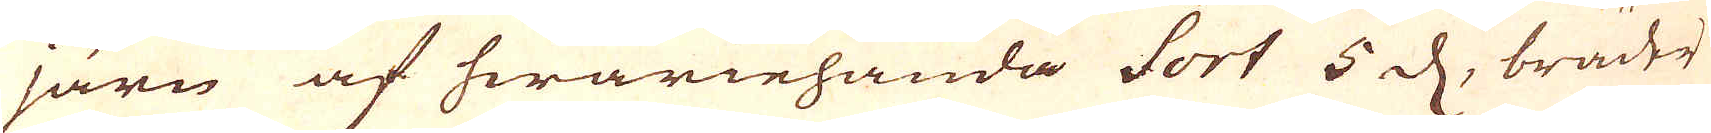järn af hwariehanda Sort 5 d, bräder
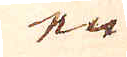en
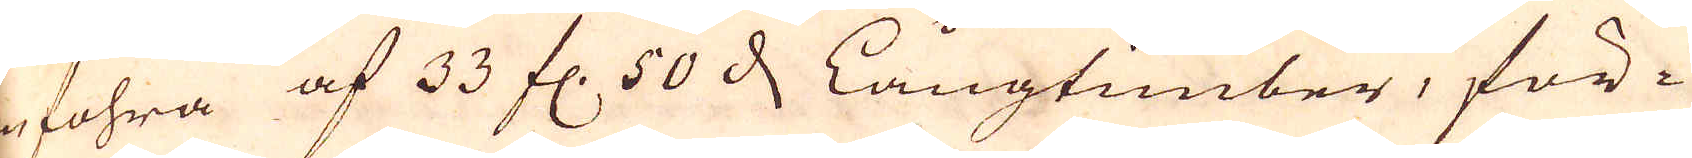enfohra af 33 fl. 50 d, Långtimber, för-
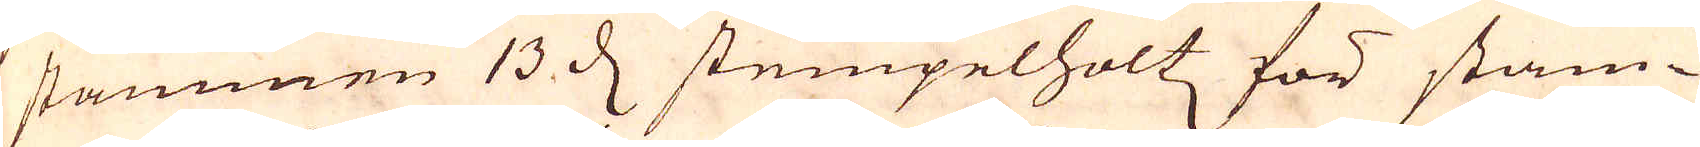stammen 13 d stempelholtz för stam-
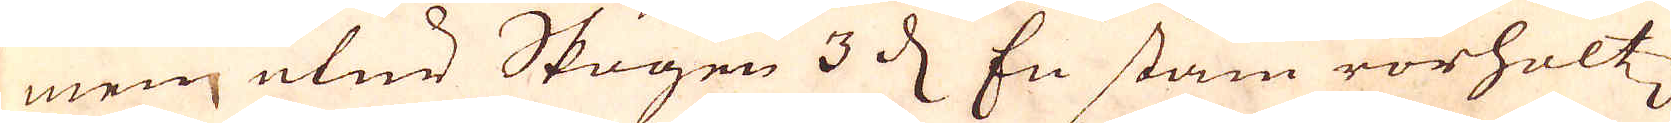men utur Skogen 3 d. En stam rorholtz
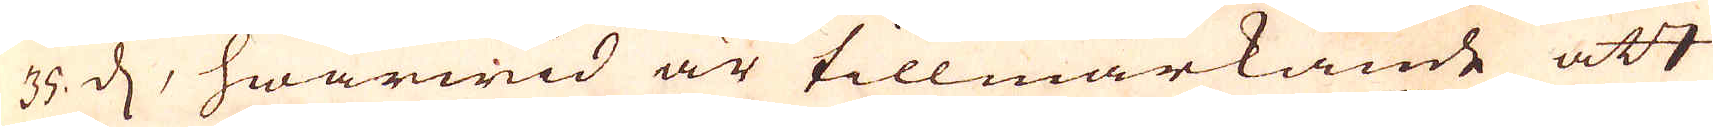35 d, hwarwid är tillwärkande att
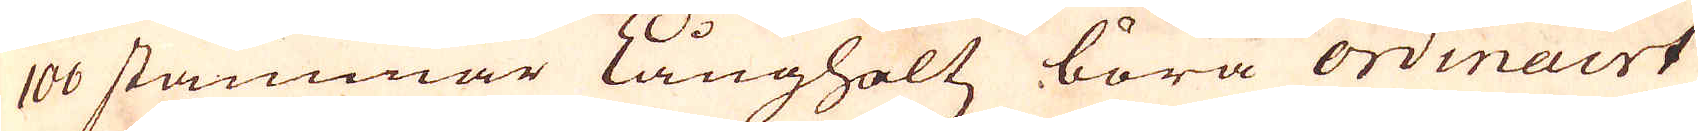100 stammar långholts böra ordinairt
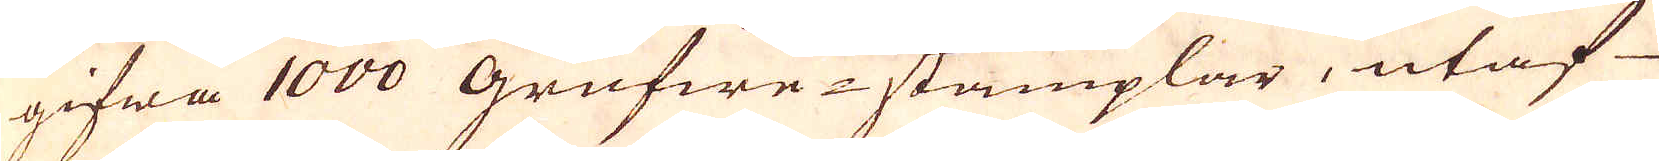gifwa 1000 grufwe-stämplar, utaf
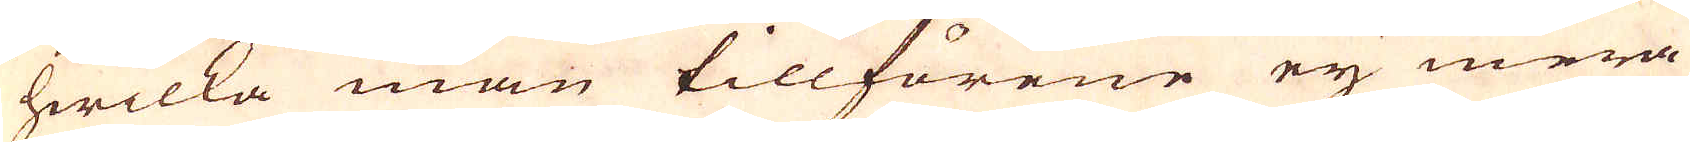hwilka man tillförene ej mera
